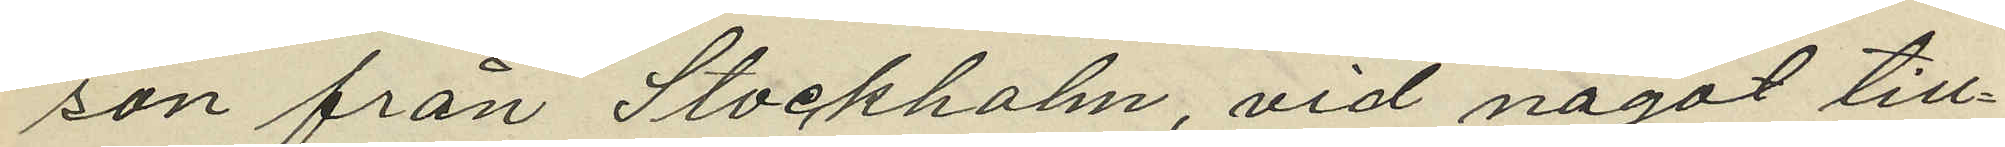son från Stockholm, vid något till¬
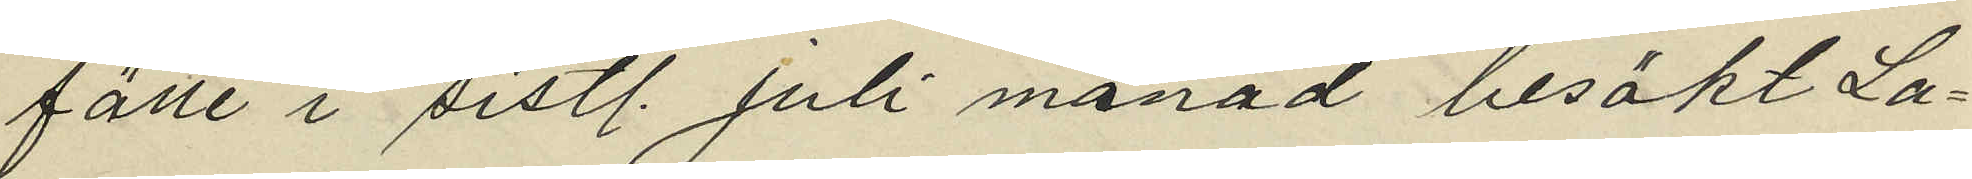fälle i sistl. Juli månad besökt La¬
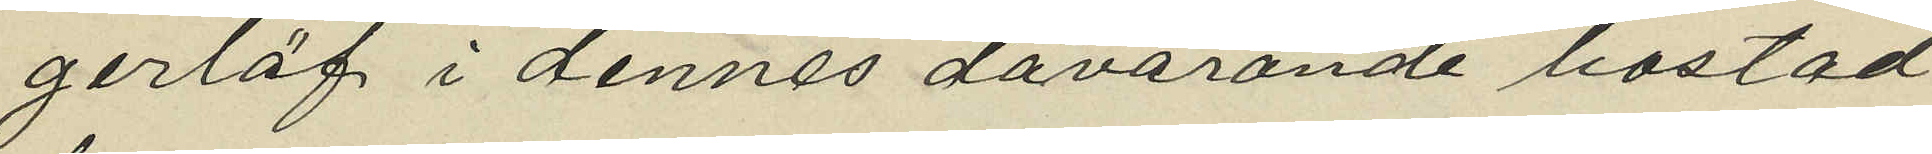gerlöf i dennes dåvarande bostad
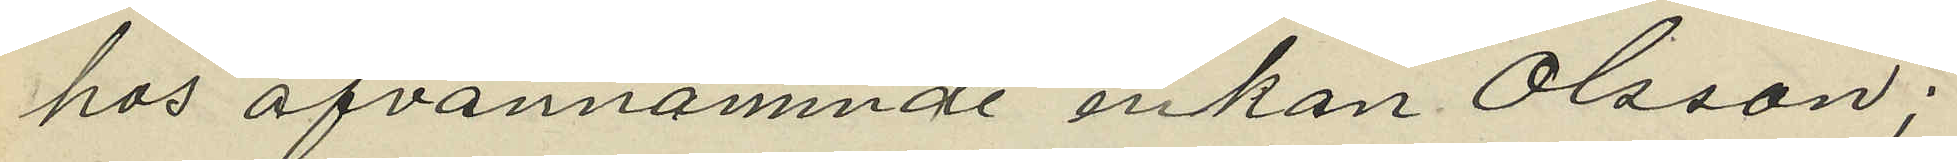hos ofvannämnde enkan Olsson;
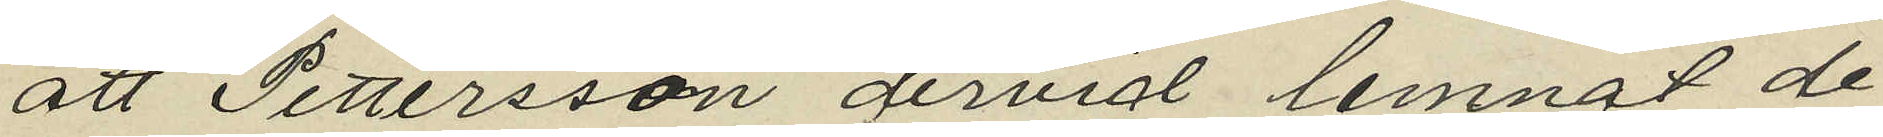att Pettersson dervid lemnat de
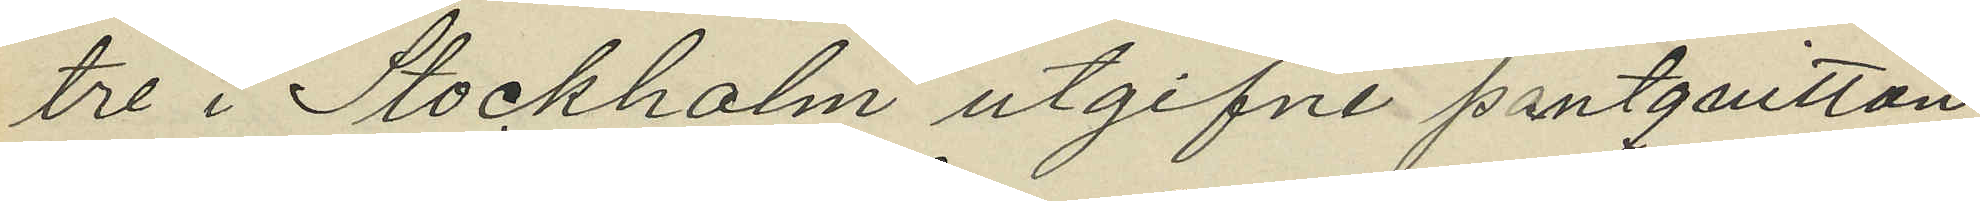tre i Stockholm utgifne pantquitton
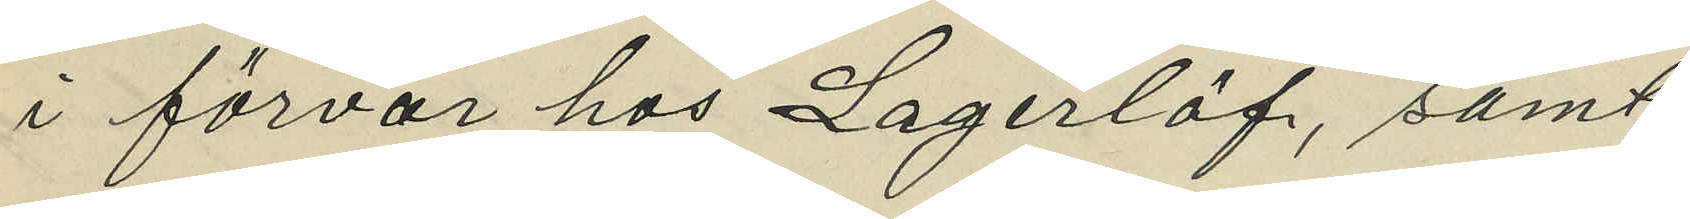i förvar hos Lagerlöf, samt
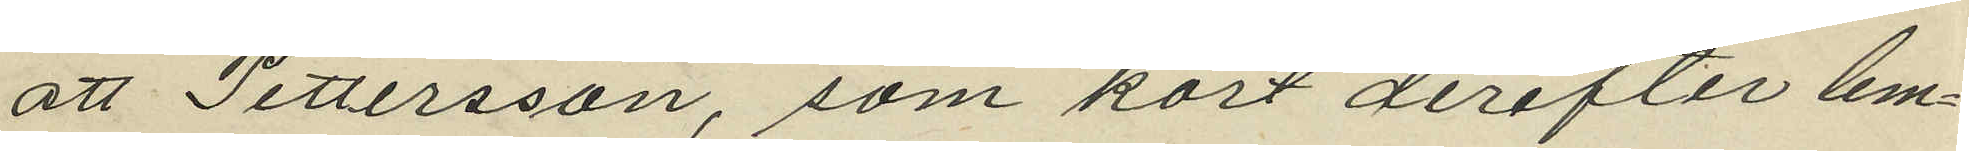att Pettersson, som kort derefter lem¬
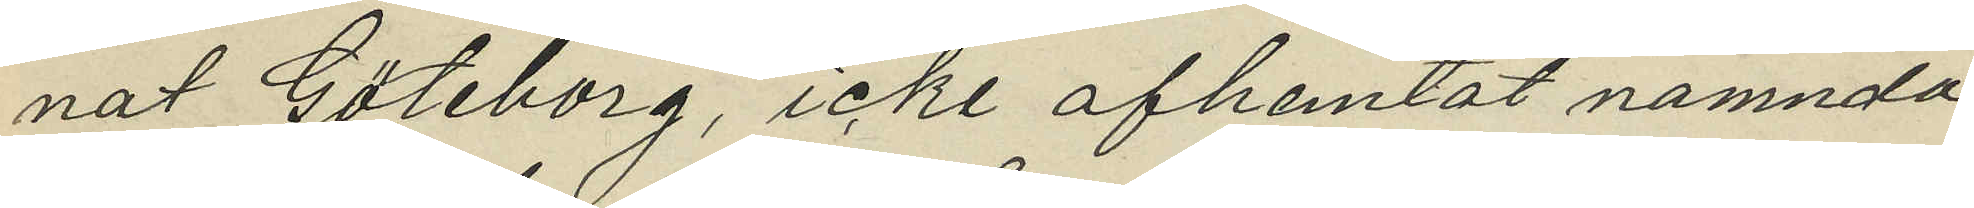nat Göteborg, icke afhemtat nämnda
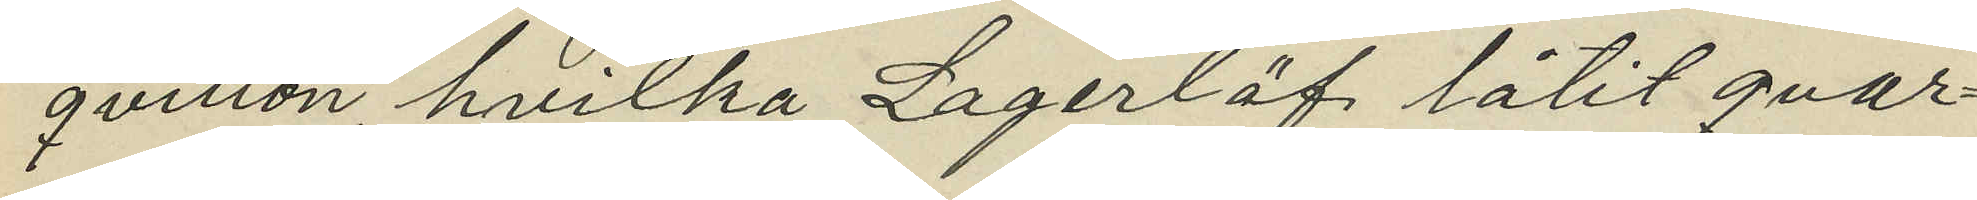qvitton, hvilka Lagerlöf låtit qvar¬
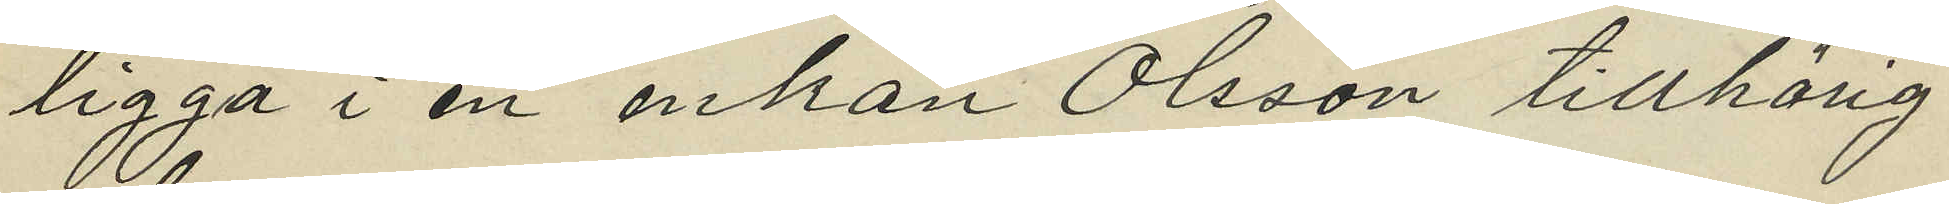ligga i en enkan Olsson tillhörig
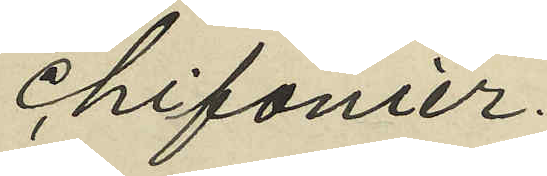chifonier.
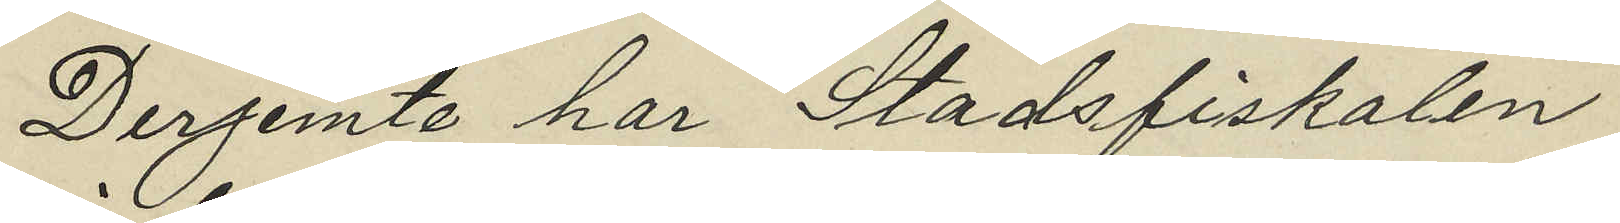Derjemte har Stadsfiskalen
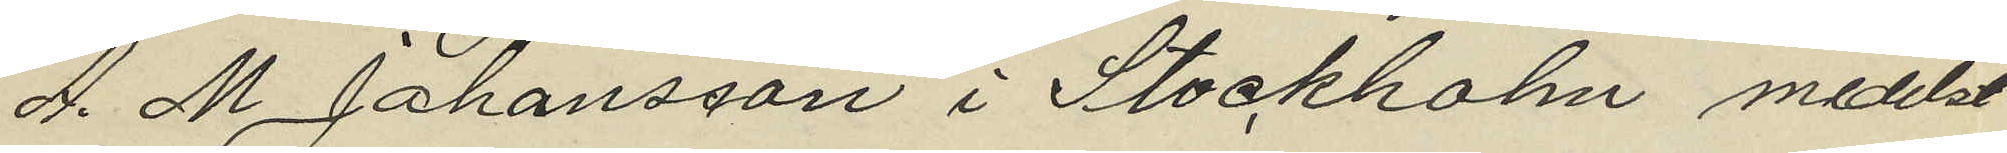A. M. Johansson i Stockholm medelst
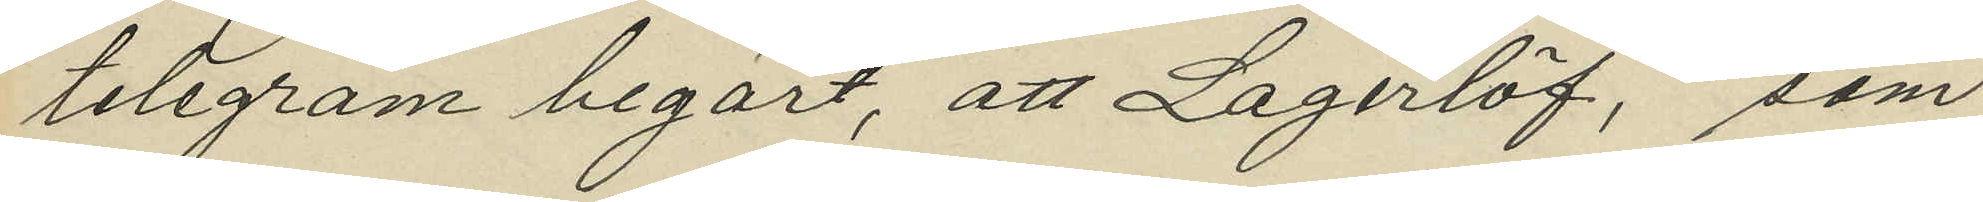telegram begärt, att Lagerlöf, som
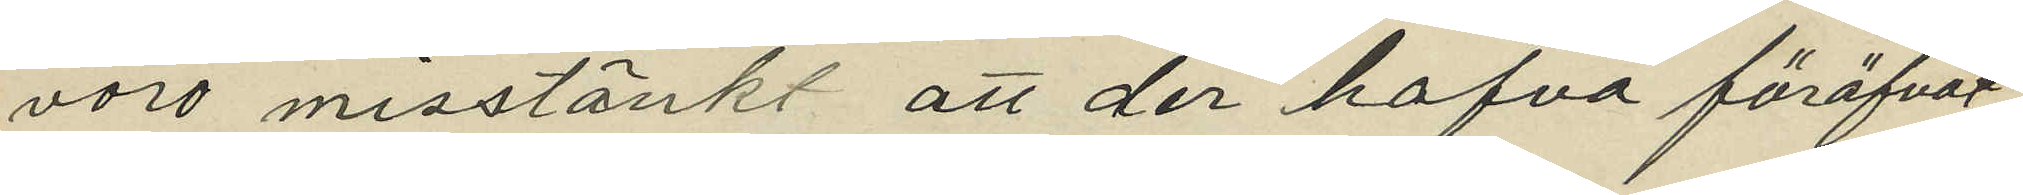voro misstänkt att der hafva föröfvat
